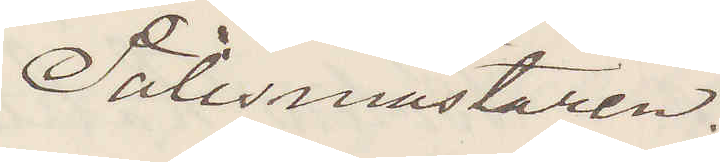Polismästaren.
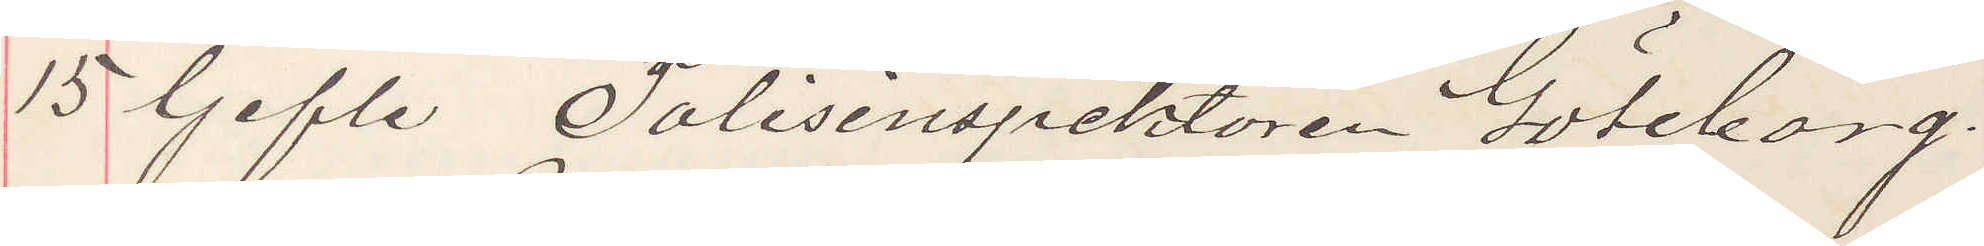15 Gefle Polisinspektören Göteborg.
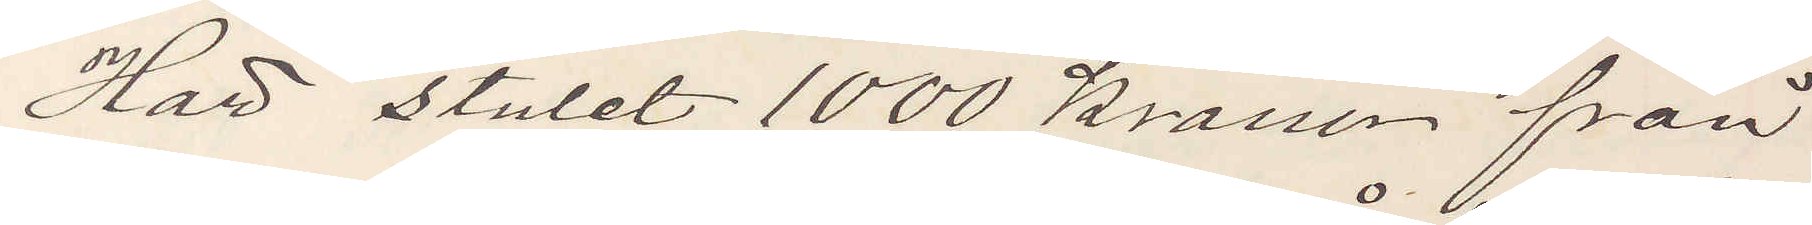Har stulet 1000 kroner från
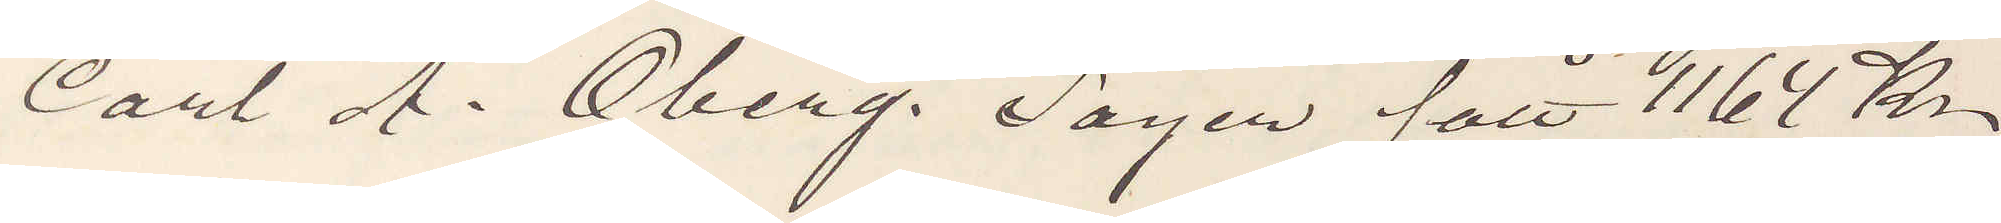Carl A. Öberg. Säger fått 1164 Kr
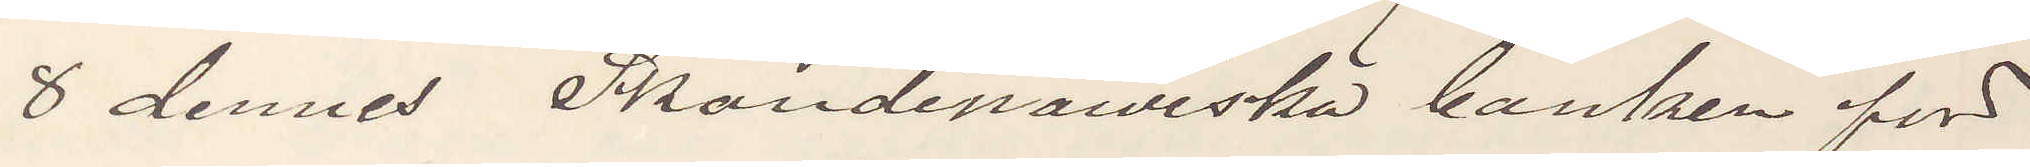8 dennes Skandinawiska banken för
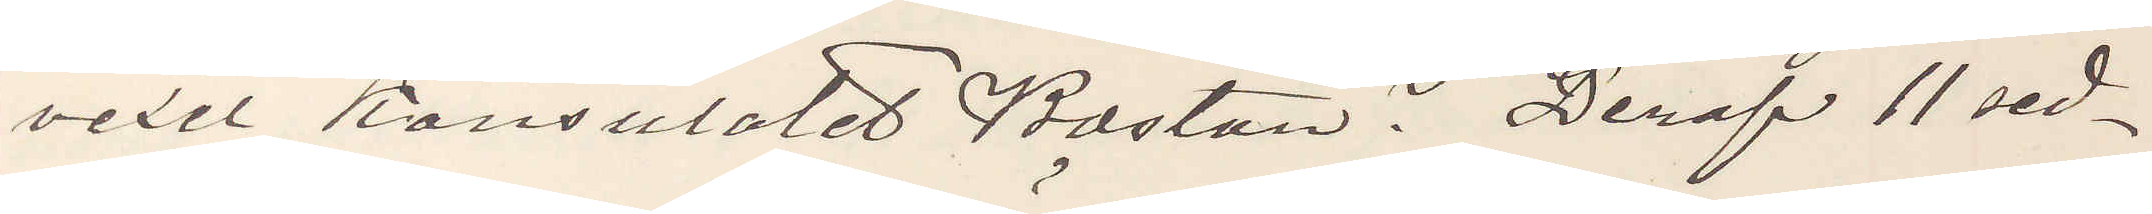vexel Konsulatet Boston? Deraf 11 sed¬
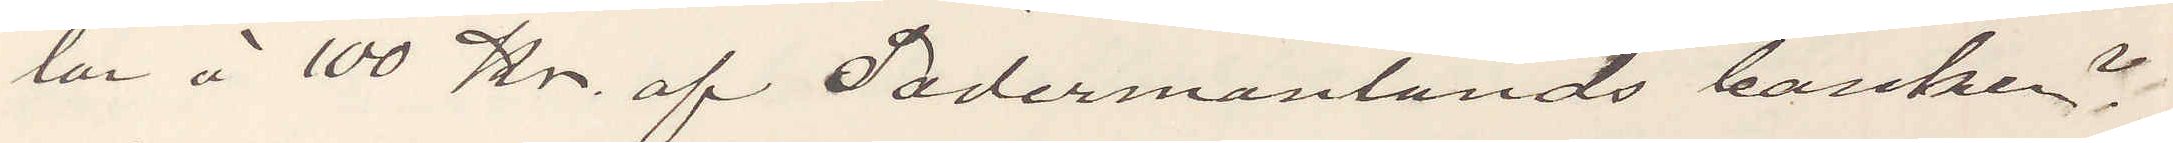lar å 100 Kr. af Södermanlands banken?
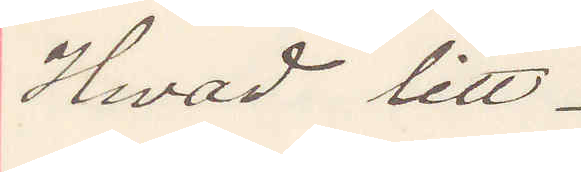Hwad litt.
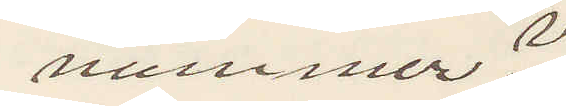nummer?
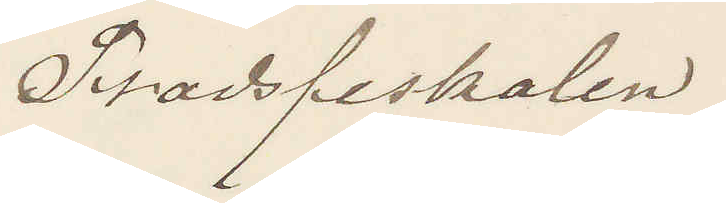Stadsfiskalen
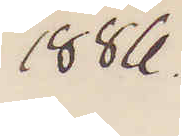1886.
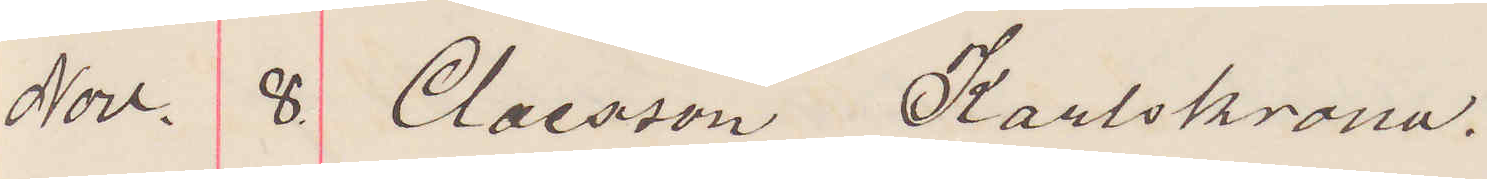Nov. 8 Claesson Karlskrona.
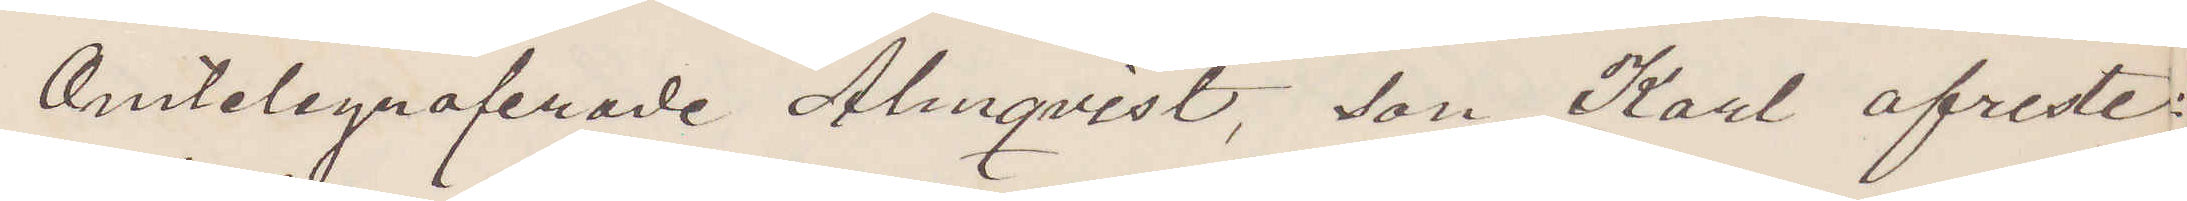Omtelegraferade Almqvist, son Karl afreste
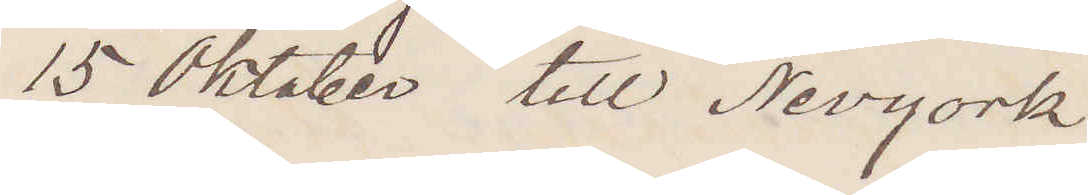15 Oktober till Nevyork
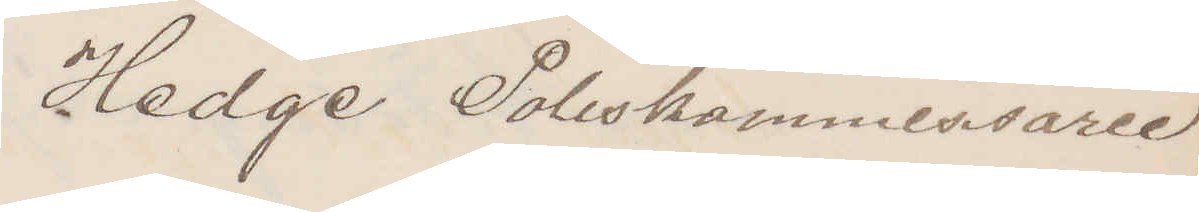Hedge Poliskommissarie
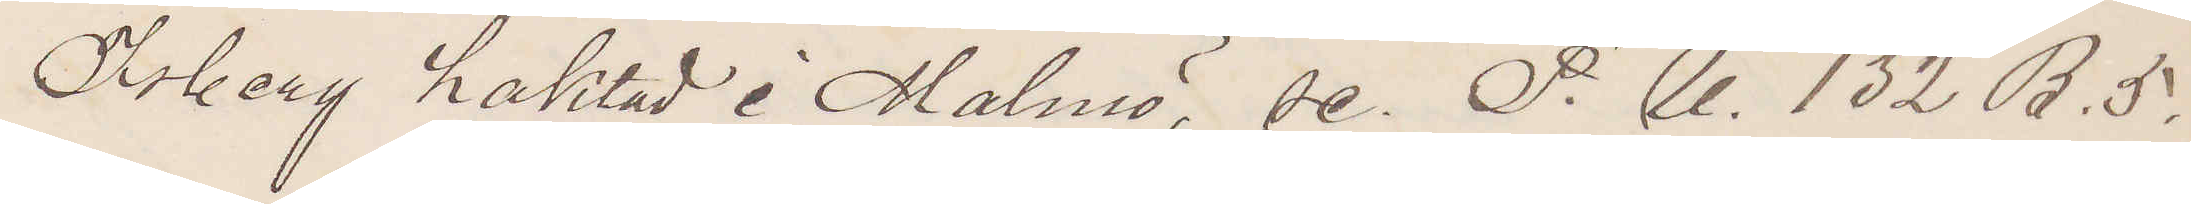Åsberg häktad i Malmö, se. P. U. 132 B. 5.
